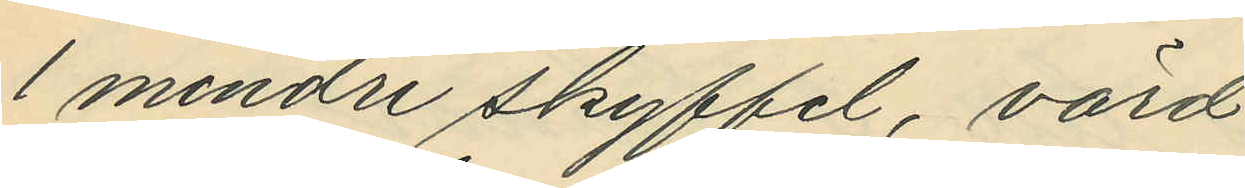1 mindre skyffel, värd
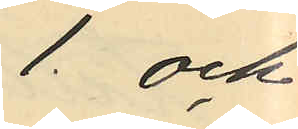1. och
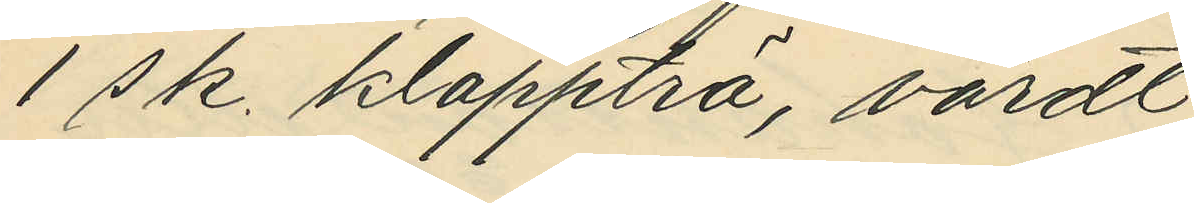1 s k. klappträ, värdt
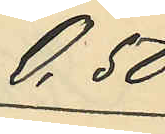0,50
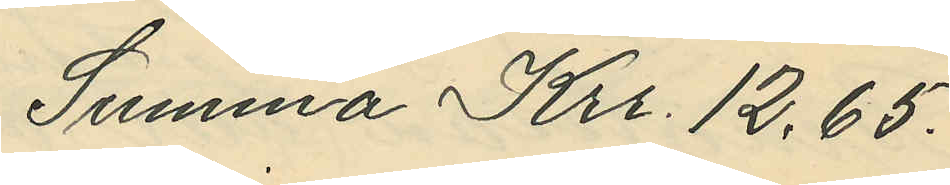Summa Krr. 12,65.
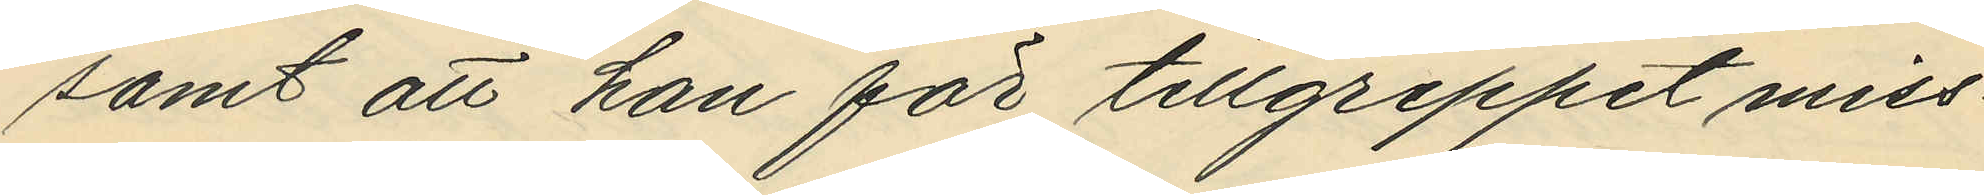samt att han för tillgreppet miss¬
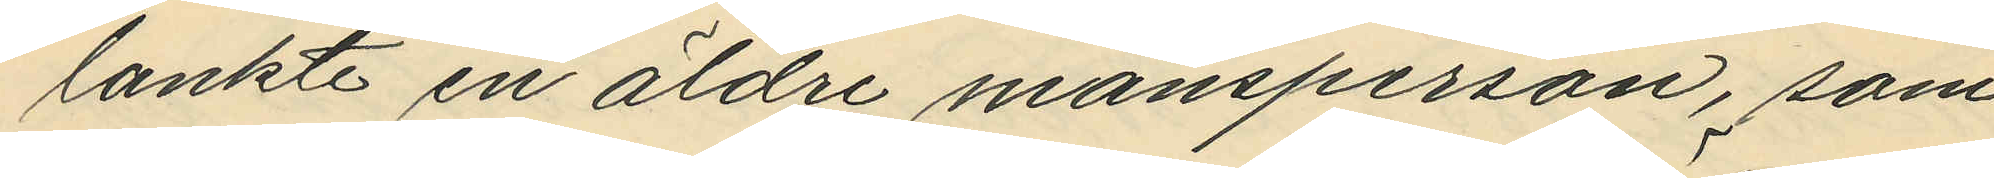lankte en äldre mansperson, som
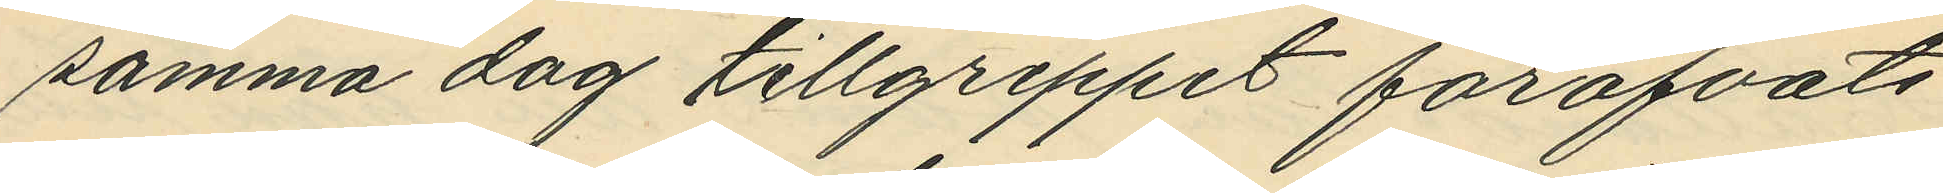samma dag tillgreppet föröfvats
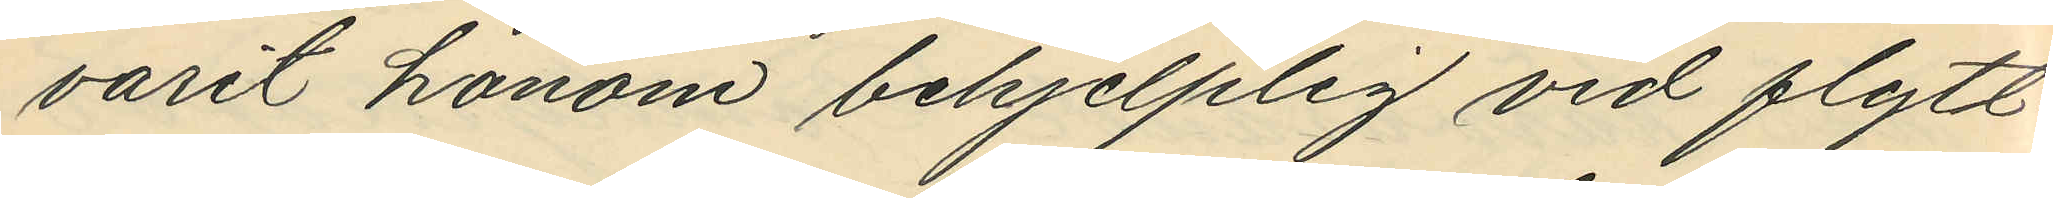varit honom behjelplig vid flytt¬
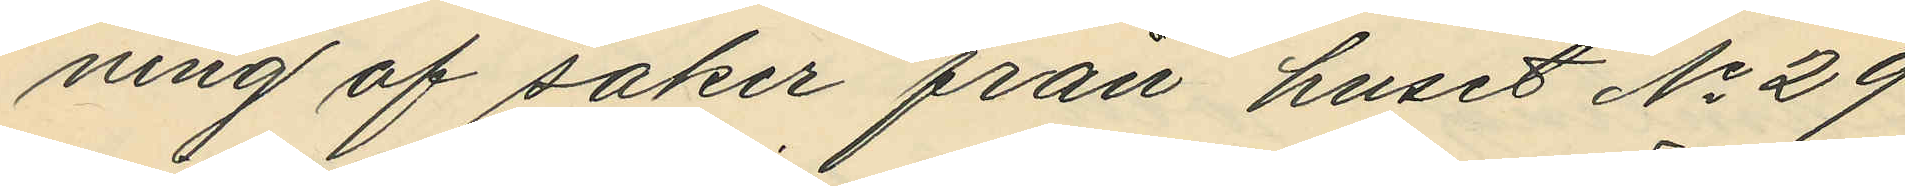ning af saker från huset No 29
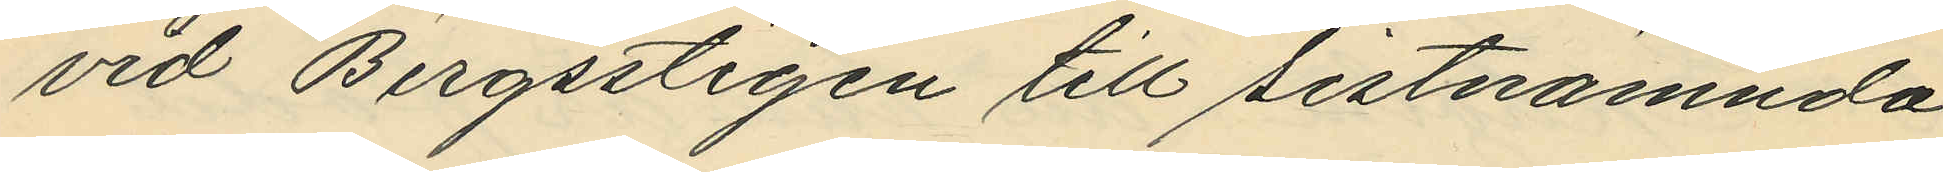vid Bergsstigen till sistnämnda
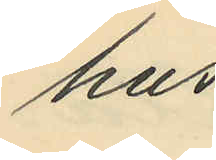hus.
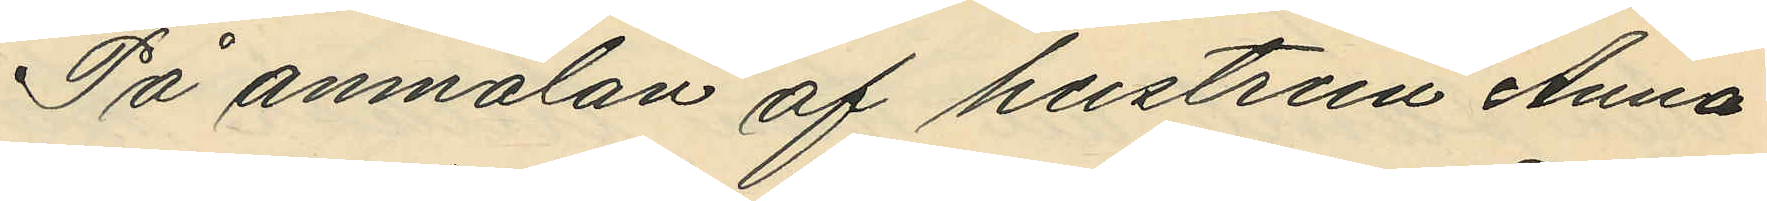På anmälan af hustrun Anna
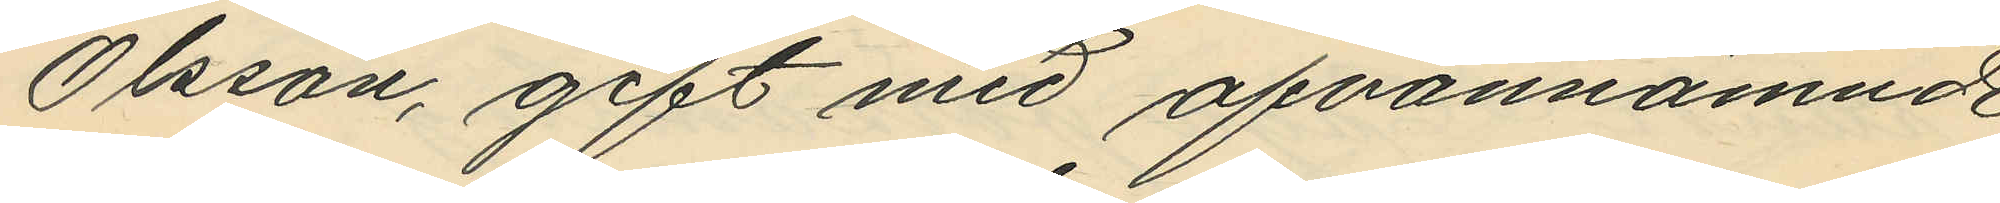Olsson, gift med ofvannämnde
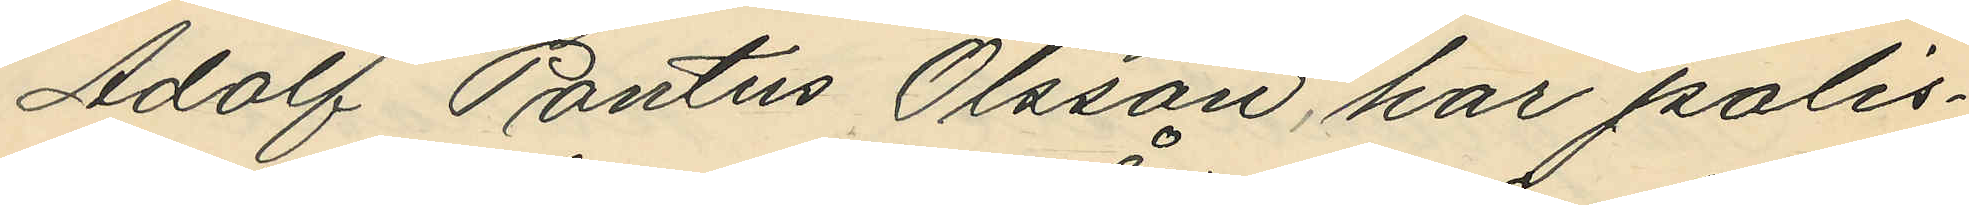Adolf Pontus Olsson, har polis¬
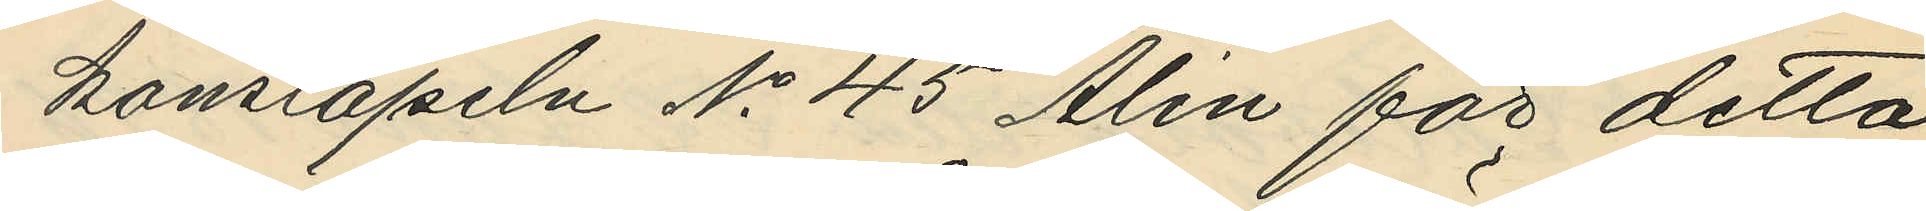konstapeln No 45 Ålin för detta
